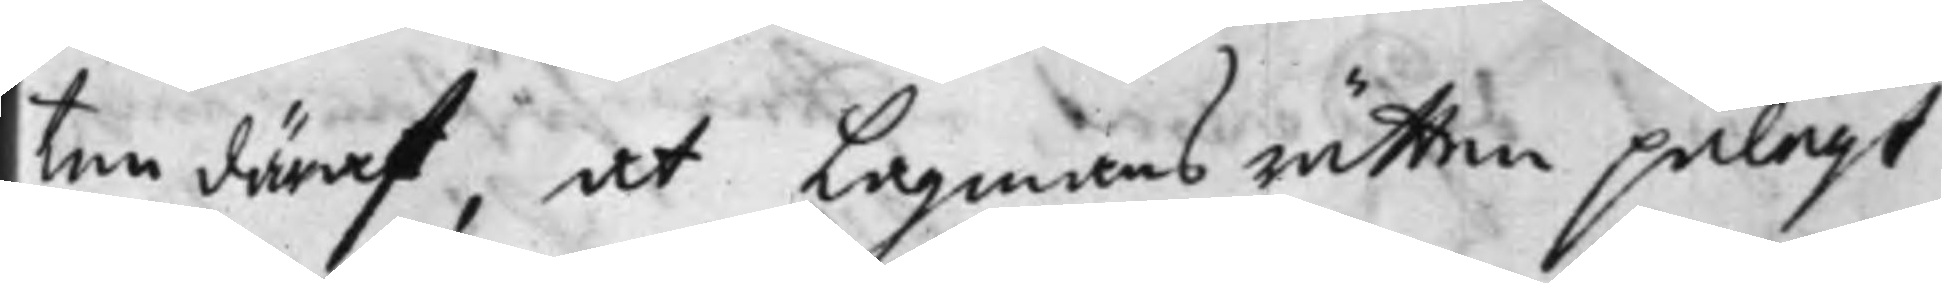ten därest, at Lagmans rätten pålagt
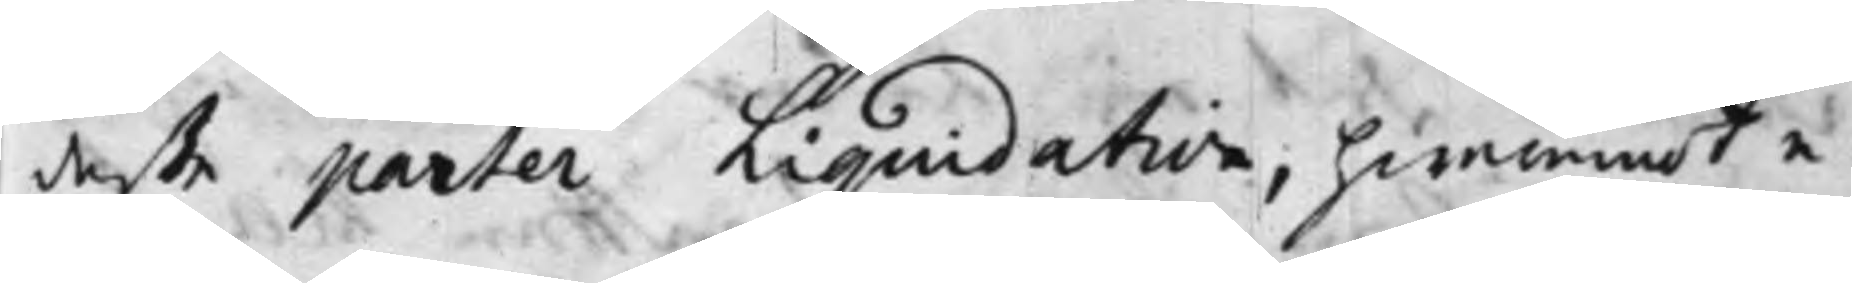deße parter Liquidation, hwaremot e¬
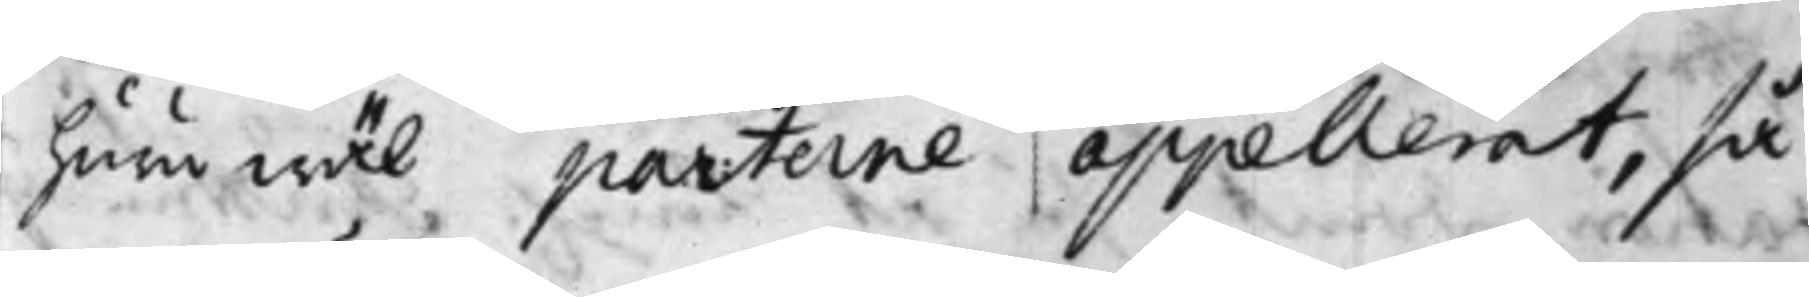huruwäl parterne appellerat, så
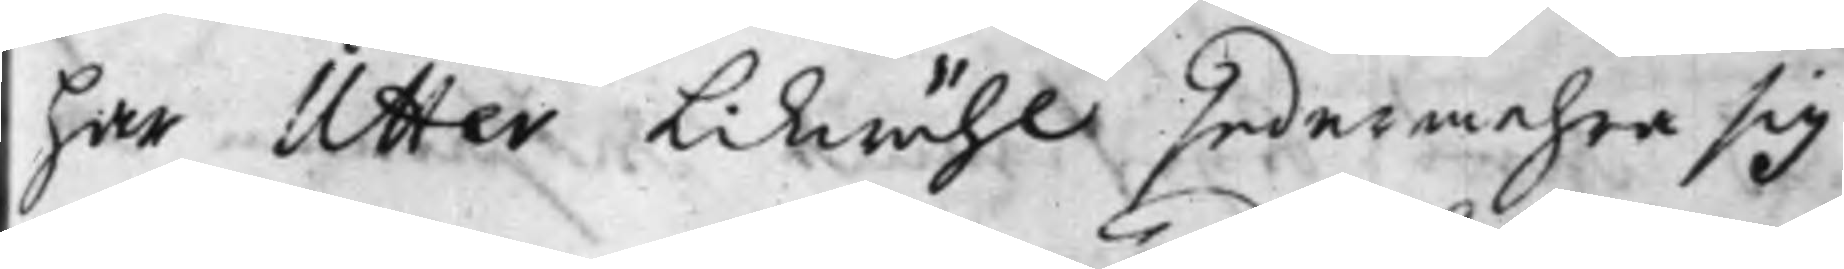har Utter Likwähl sedermehra sig
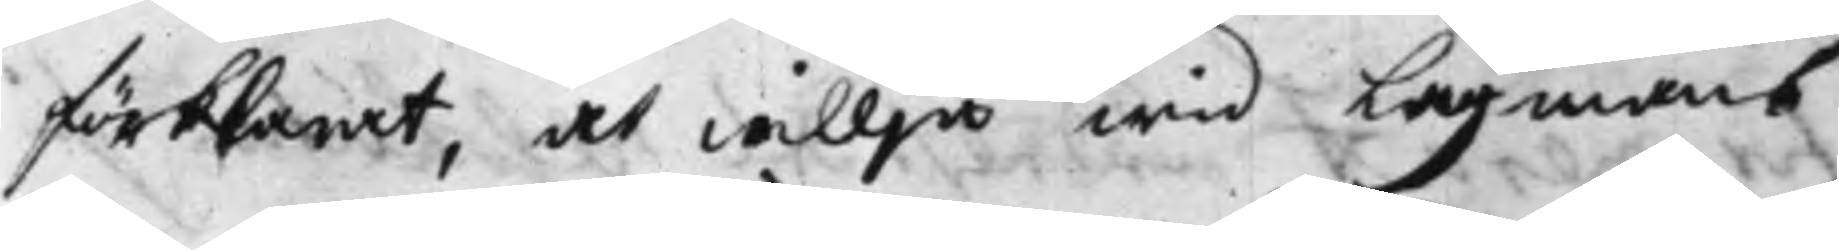förklarat, at willja wid Lagmans
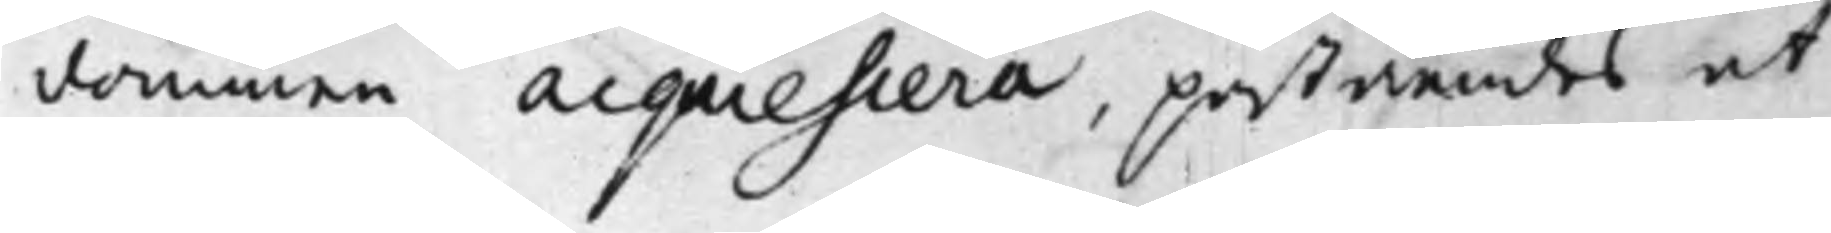dommen acquiesiera, påståendes at
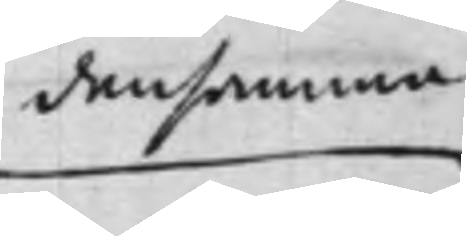densamma
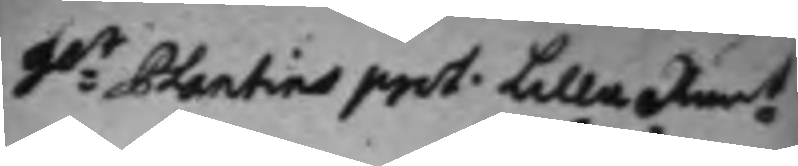Ho:t Plantins prot. Lilla Rän:t
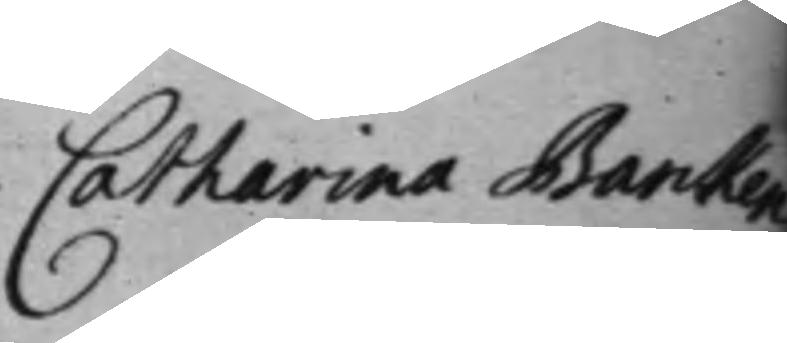Catharina Barcken¬
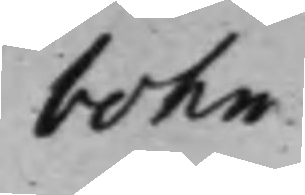bohn
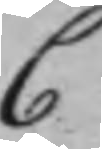C
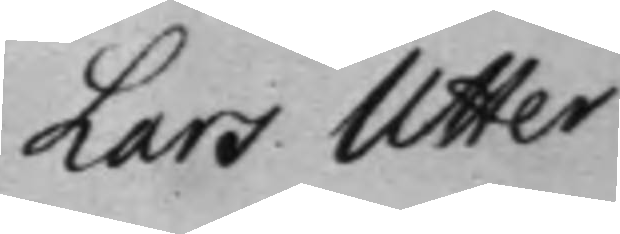Lars Utter.
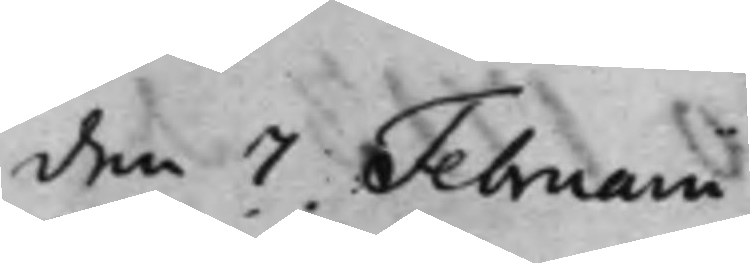den 7 Februarii
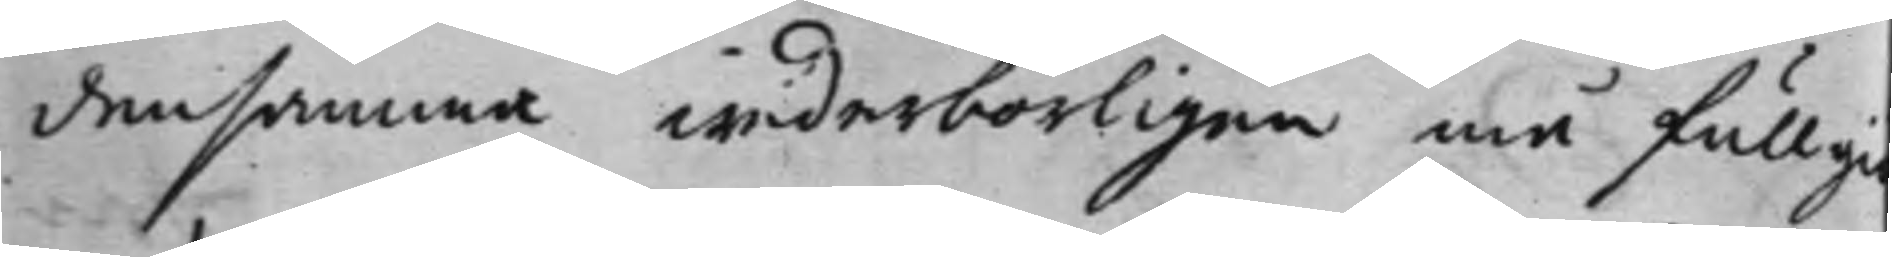densamma wederbörligen må fullgi¬
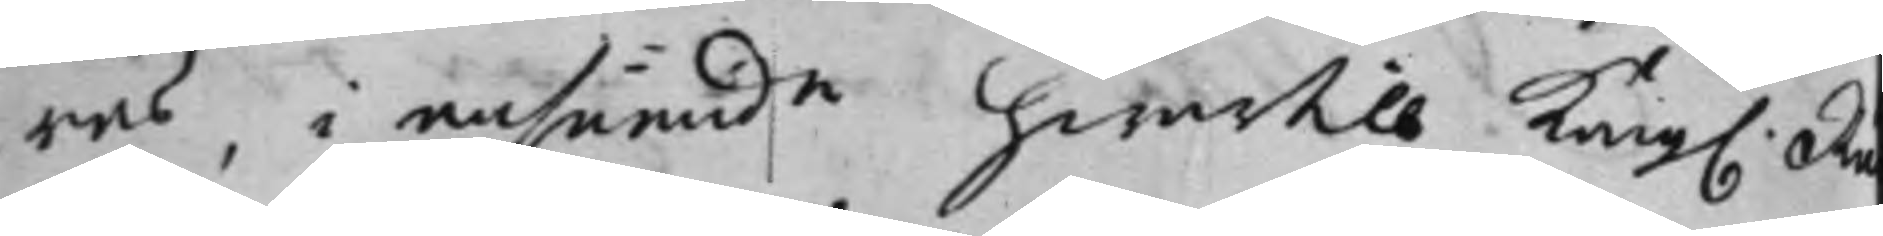ras, i anseende hwartill Kong. Rä¬
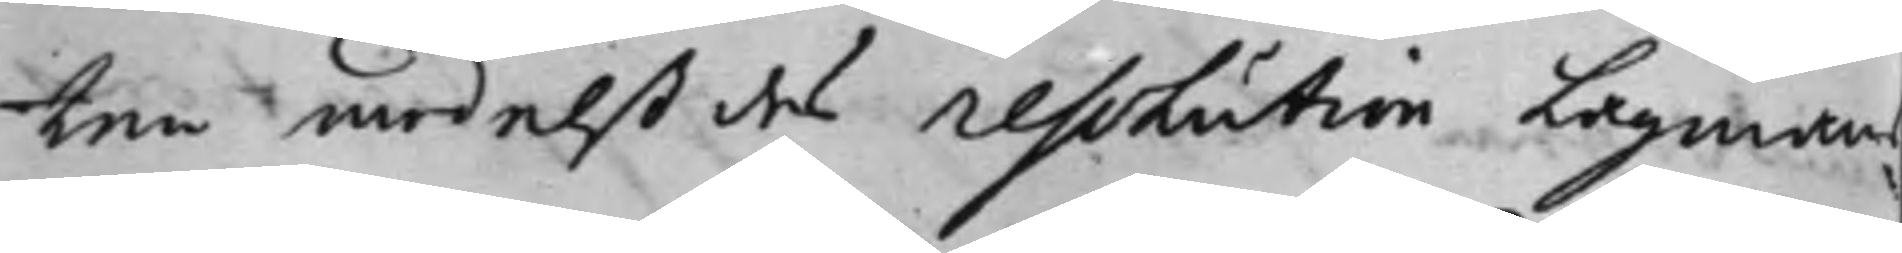ten medelst des Resolution Lagmans
